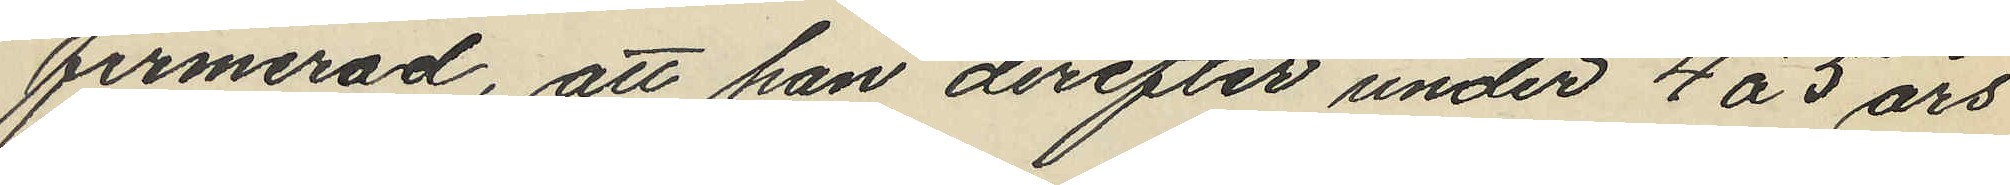firmerad, att han derefter under 4 á 5 års
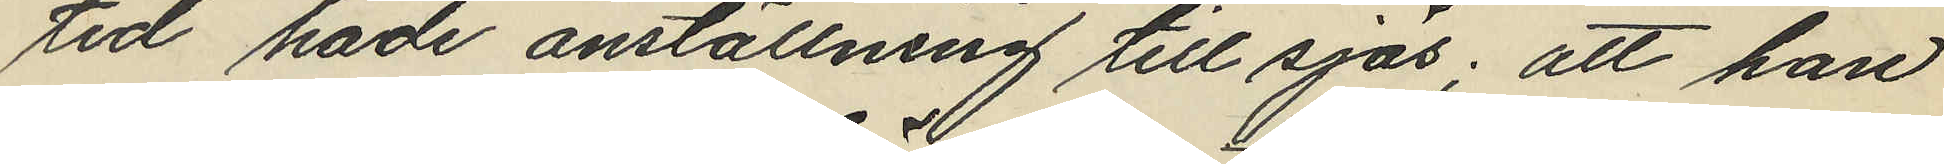tid hade anställning till sjös; att han
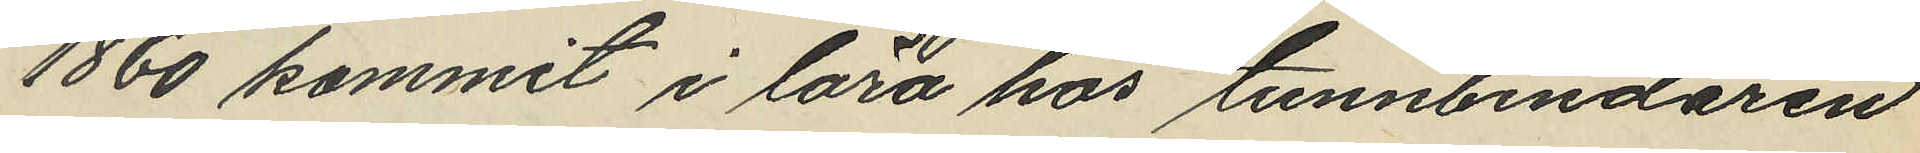1860 kommit i lära hos tunnbindaren
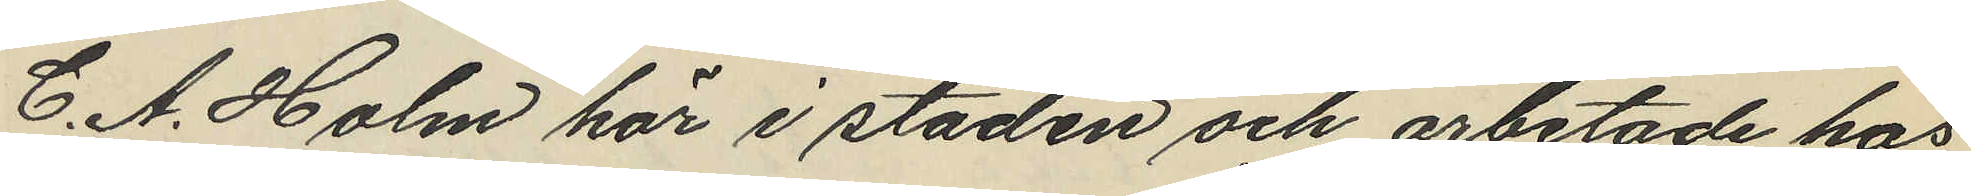C. A. Holm här i staden och arbetade hos
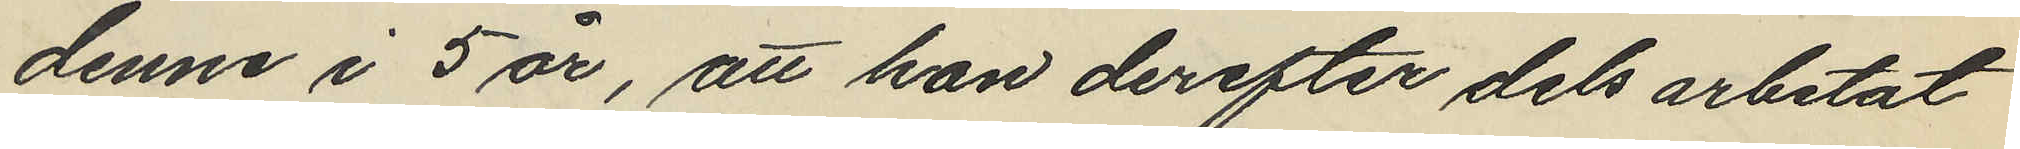denne i 5 år, att han derefter dels arbetat
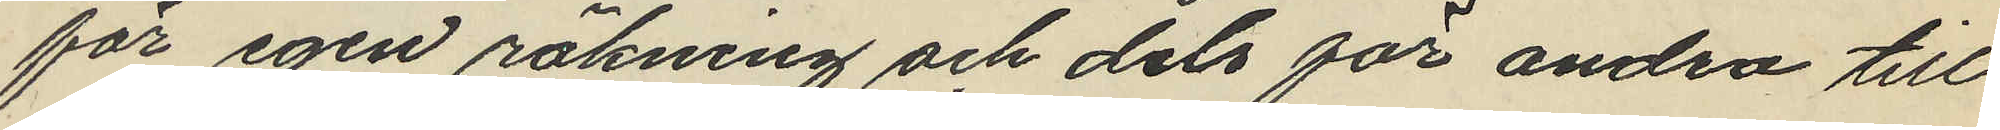för egen räkning och dels för andra till
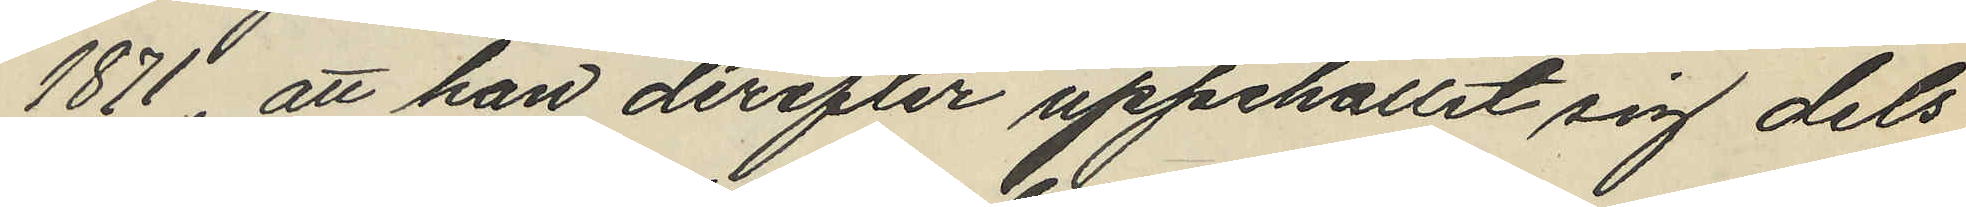1871; att han derefter uppehållit sig dels
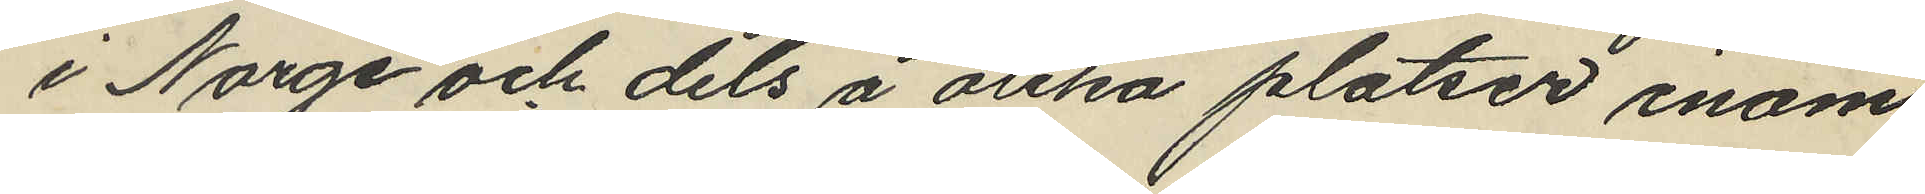i Norge och dels å olika platser inom
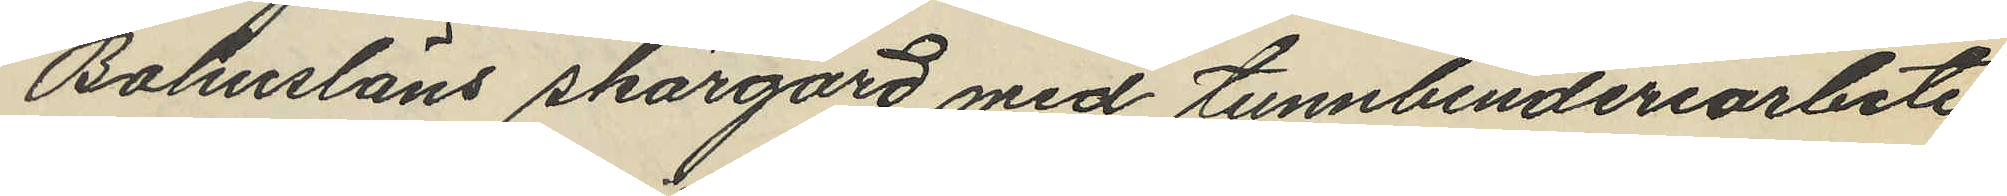Bohusläns skärgård med tunnbinderiarbete
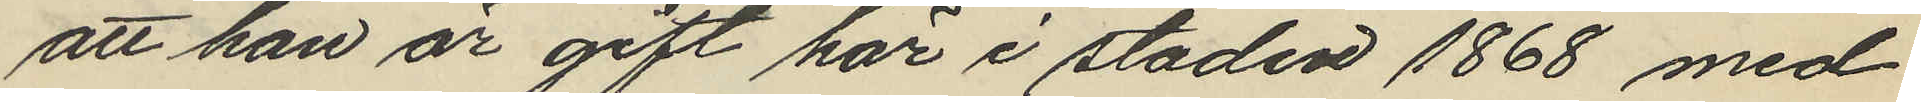att han är gift här i staden 1868 med
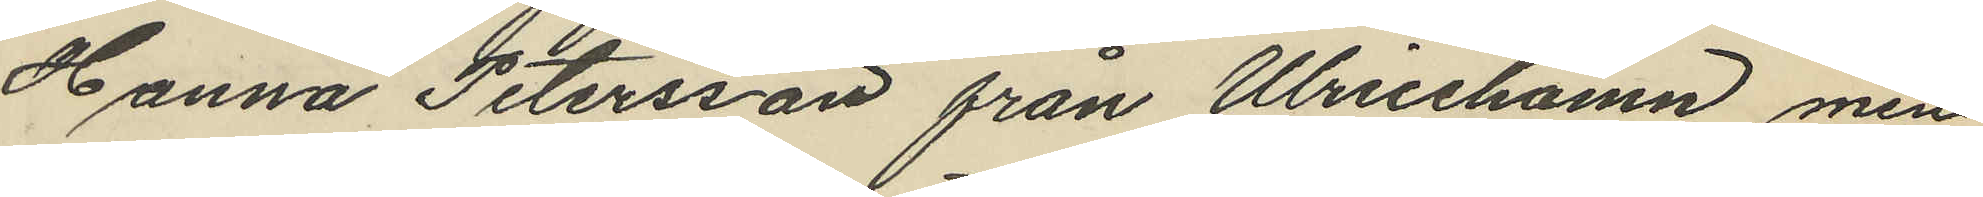Hanna Petersson från Ulricehamn, men
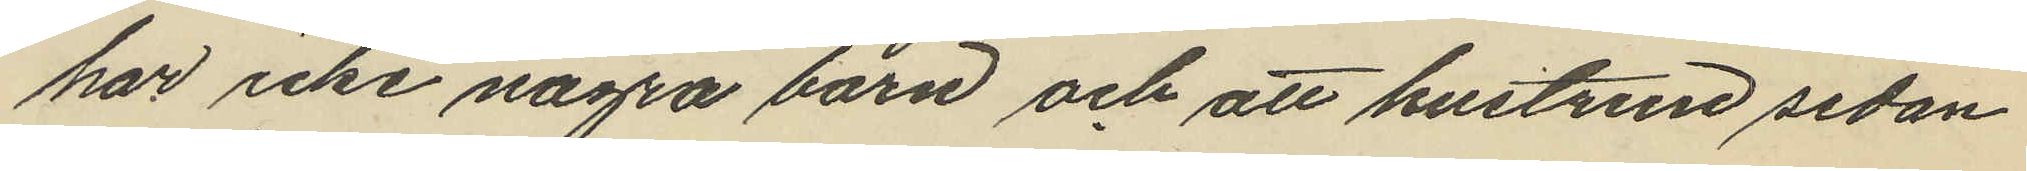har icke några barn och att hustrun sedan
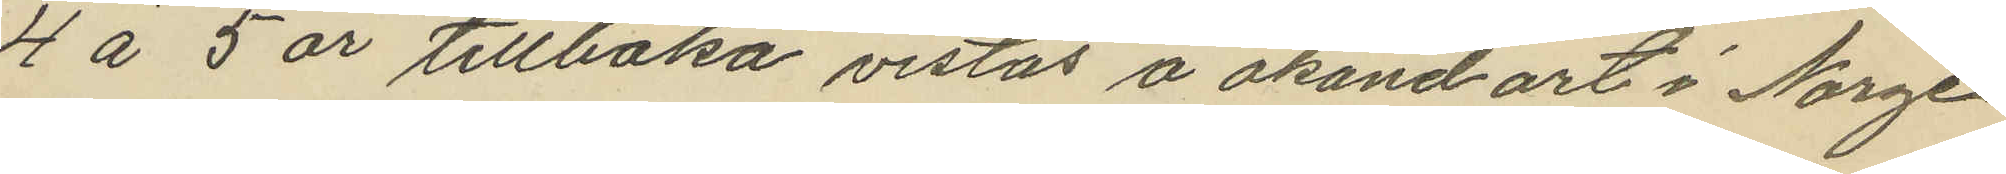4 á 5 år tillbaka vistas å okand ort i Norge
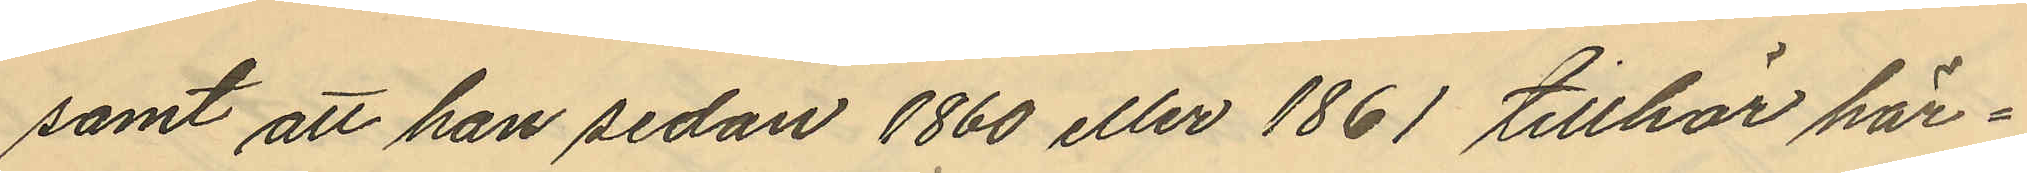samt att han sedan 1860 eller 1861 tillhör här¬
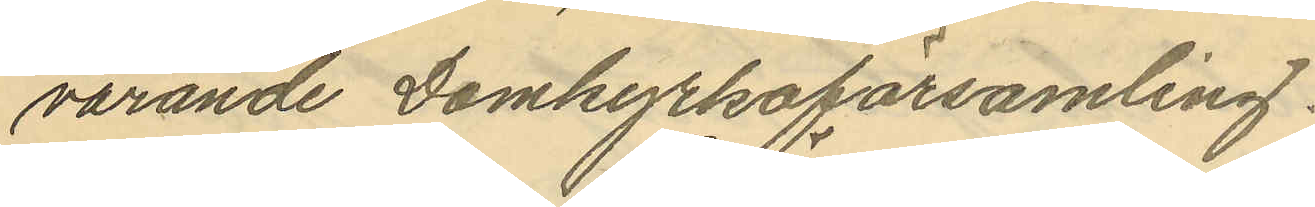varande Domkyrkoförsamling.
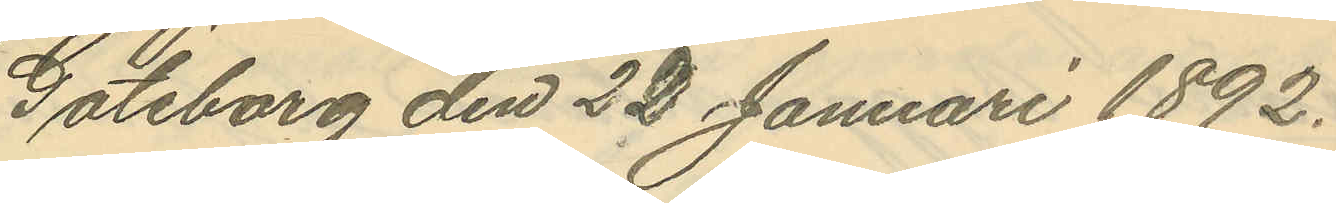Göteborg den 22 Januari 1892.
